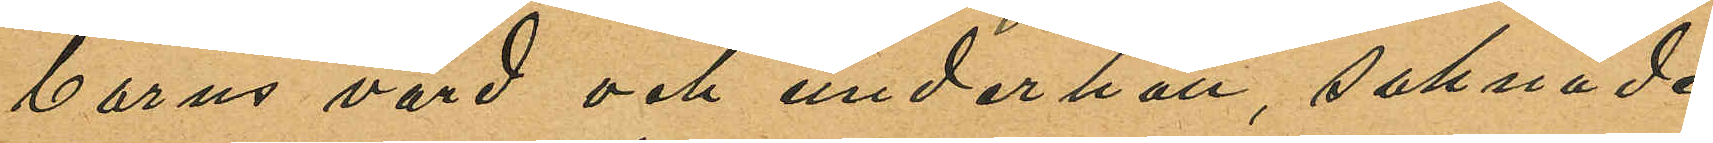barns vård och underhåll, saknade
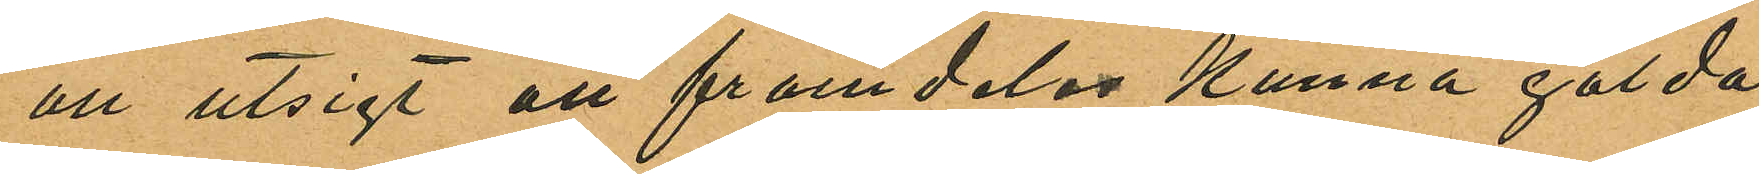all utsigt att framdeles kunna gälda
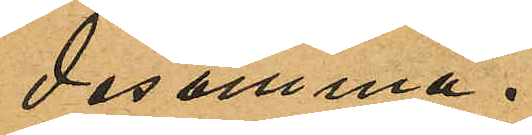desamma.
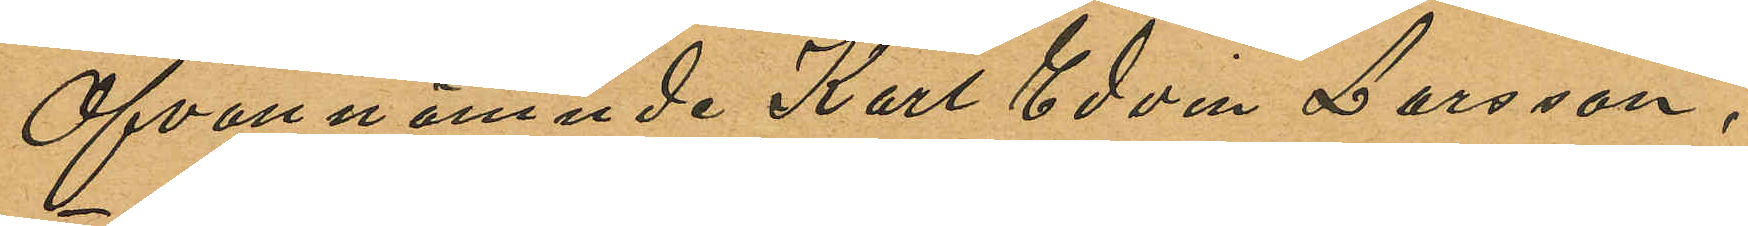Ofvannämnde Karl Edvin Larsson,
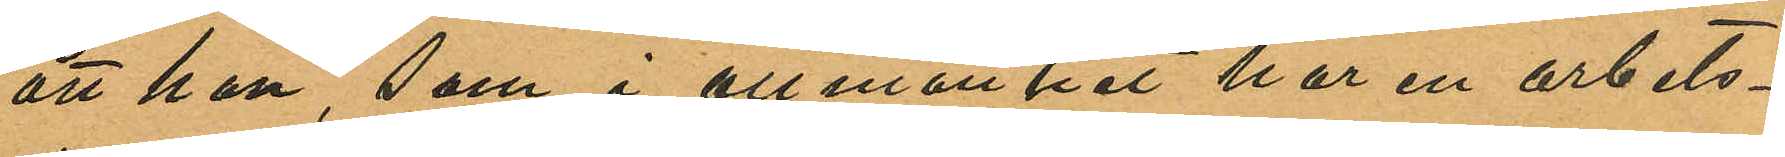att han, som i allmänhet har en arbets¬
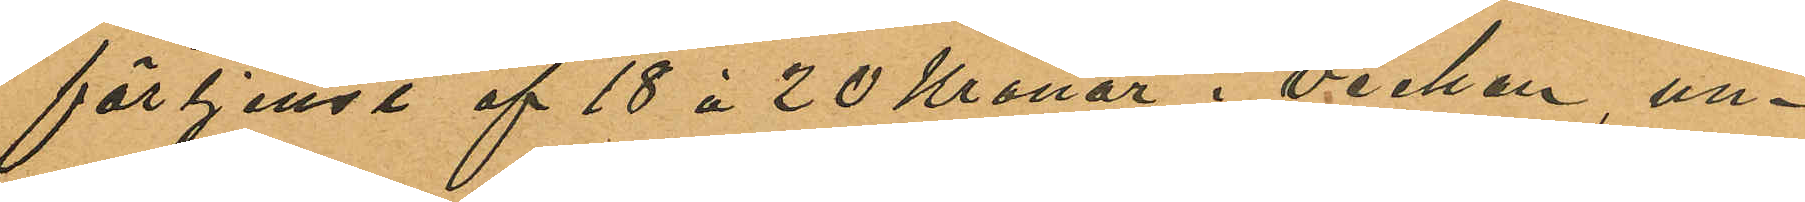förtjenst af 18 à 20 Kronor i veckan un¬
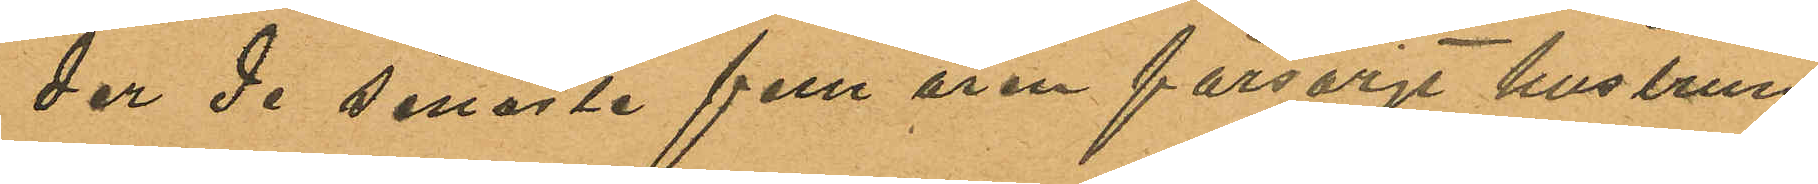der de senaste fem åren försörjt hustrun
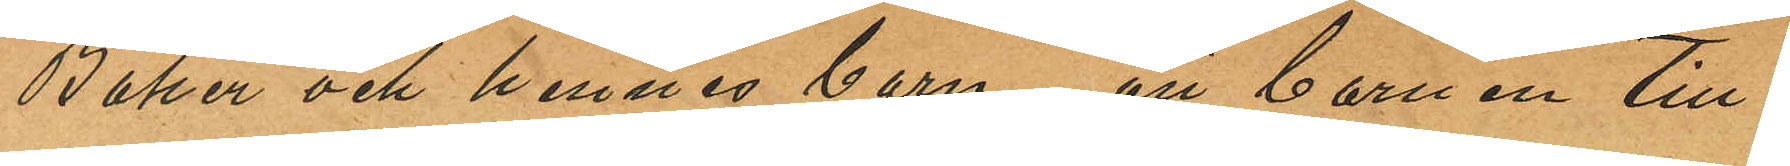Baker och hennes barn; att barnen till
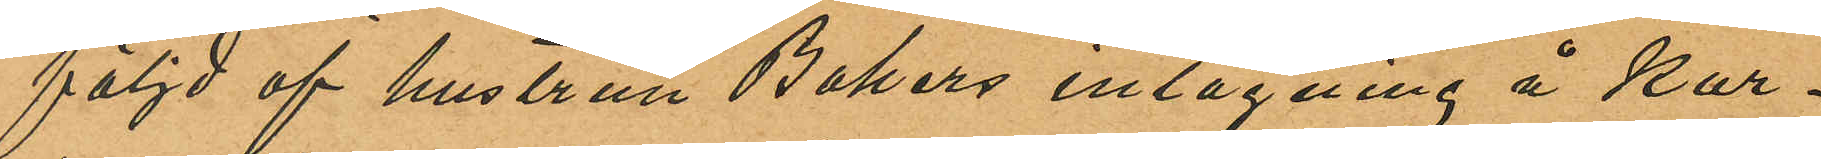följd af hustrun Bokers intagning å Kur¬
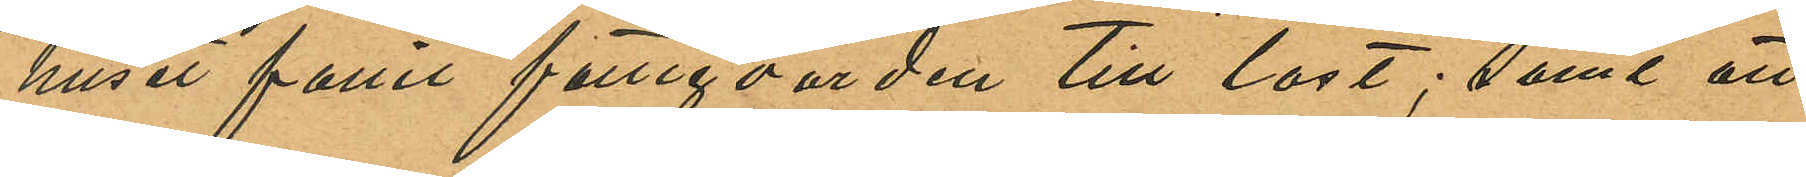huset fallit fattigvården till last; samt att
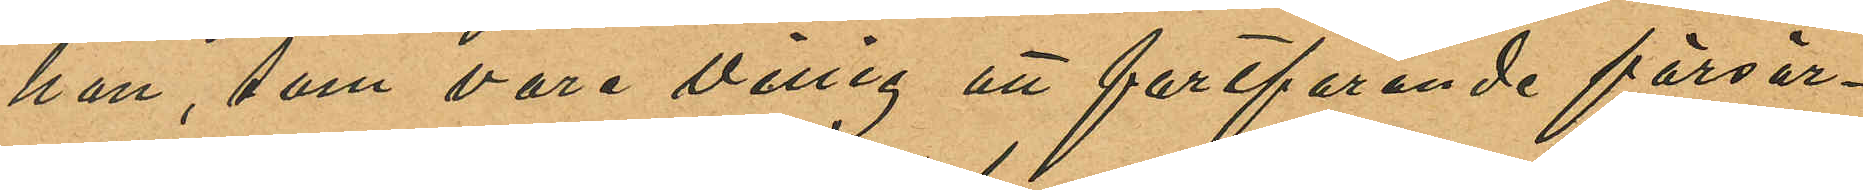han, som vore villig att fortfarande försör¬
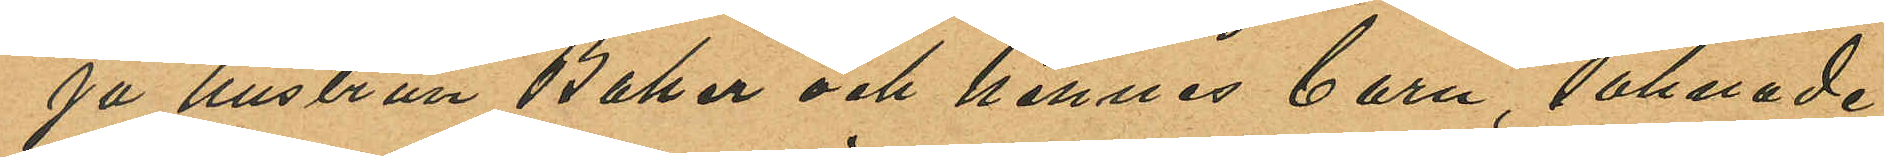på hustrun Baker och hennes barn, saknade
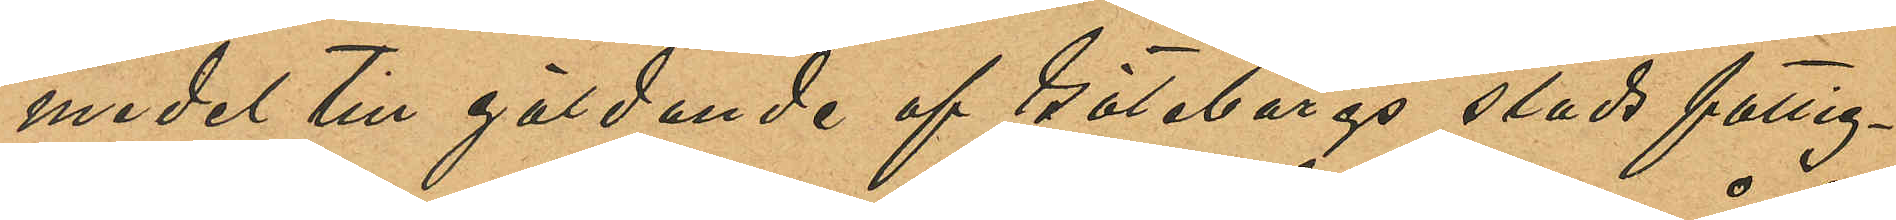medel till gäldande af Göteborgs stads fattig¬
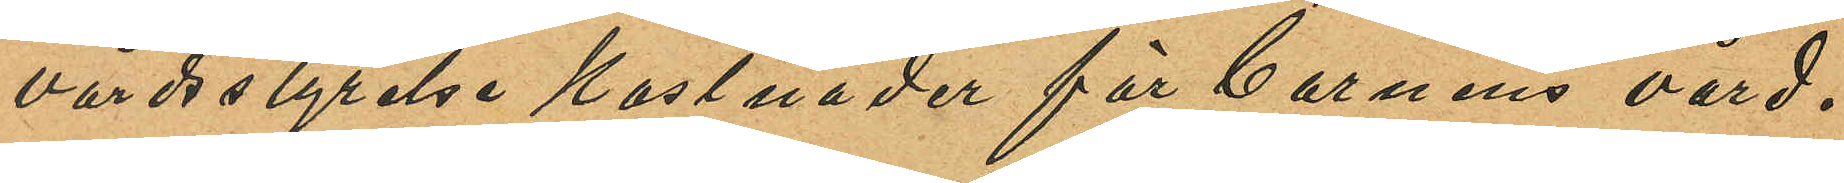vårdsstyrelse kostnader för barnens vård.
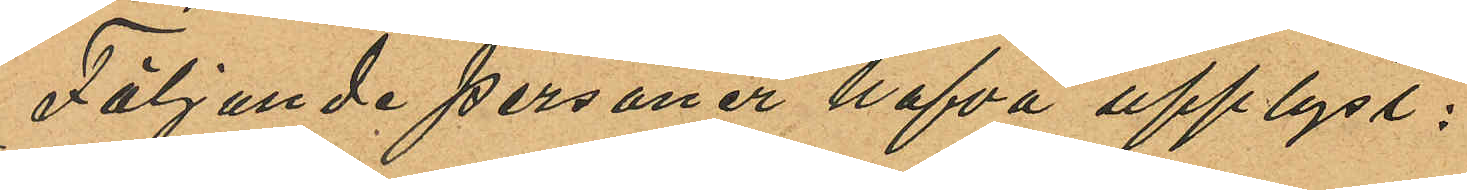Följande personer hafva upplyst:
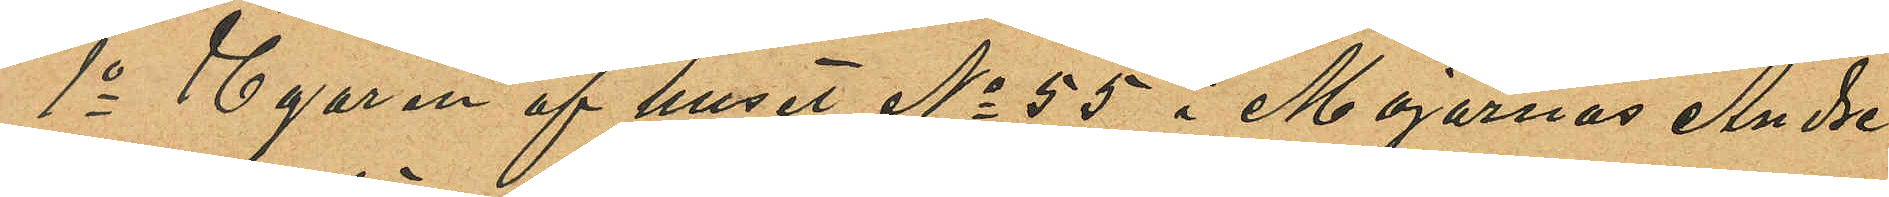1o Egaren af huset No 55 i Majornas Andre
